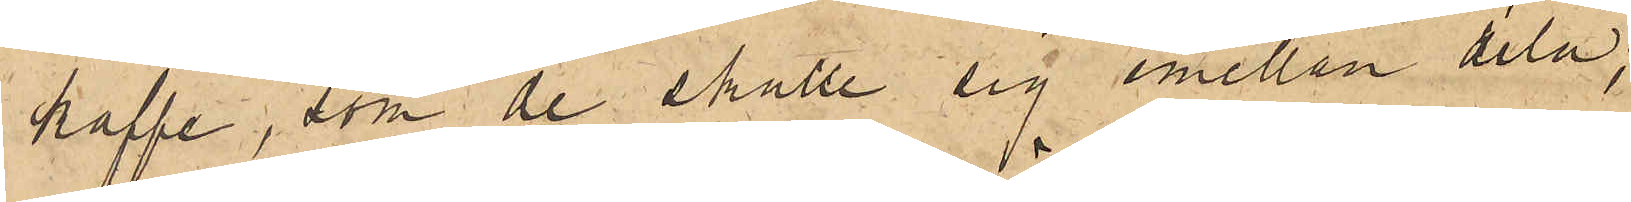kaffe, som de skulle sig emellan dela;
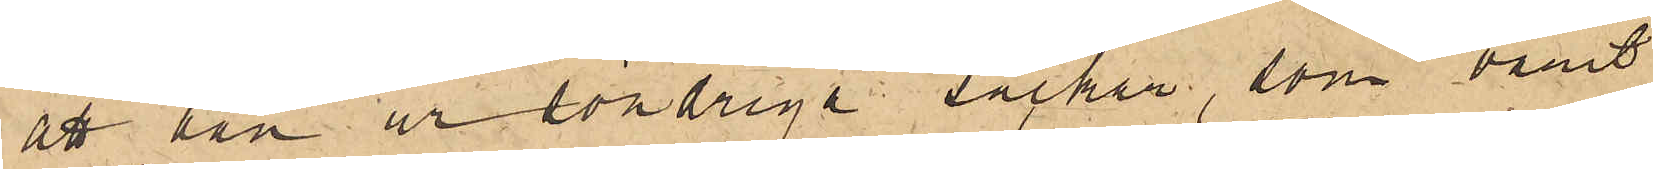att han ur söndriga säckar, som varit
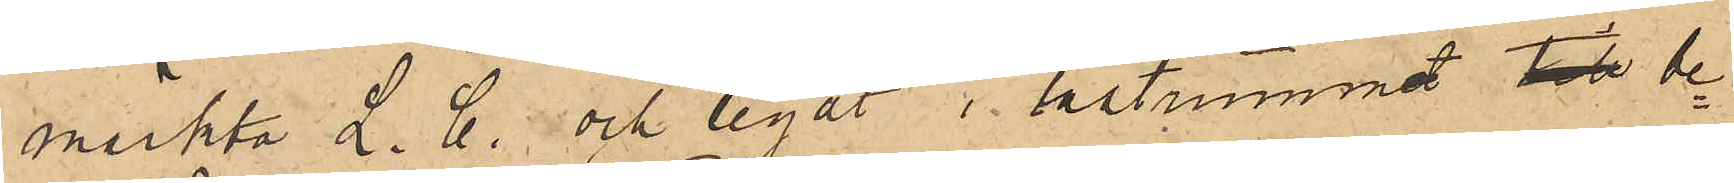märkta L. C. och legat i lastrummet till be¬
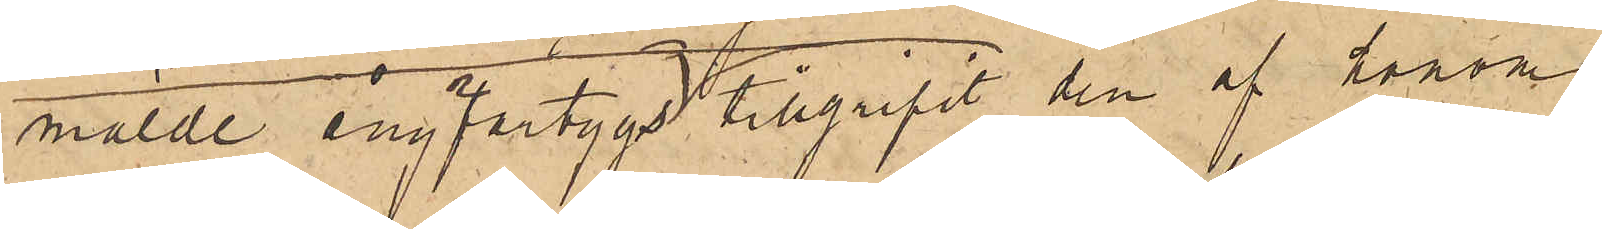mälde ångfartyg tillgripit den af honom
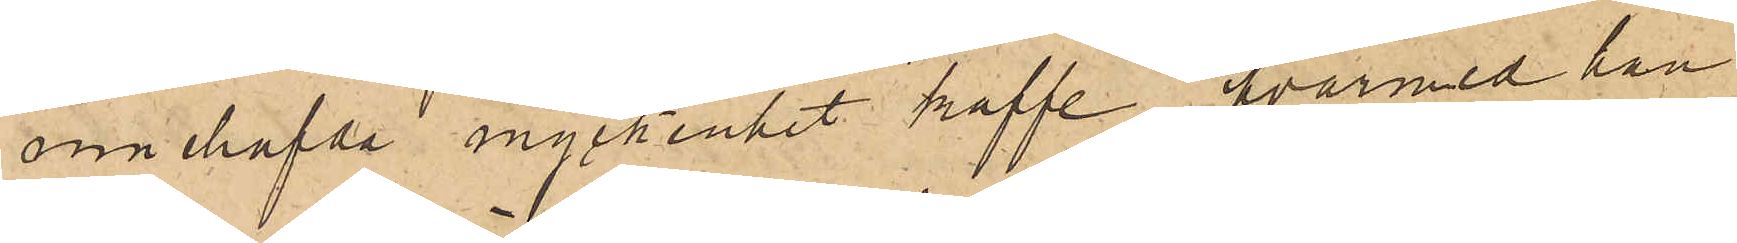innehafda myckenhet kaffe, hvarmed han
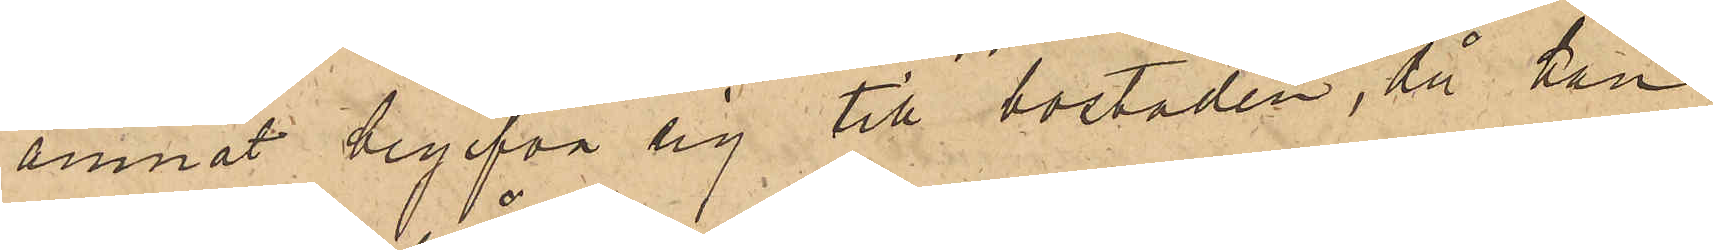ämnat begifva sig till bostaden, då han
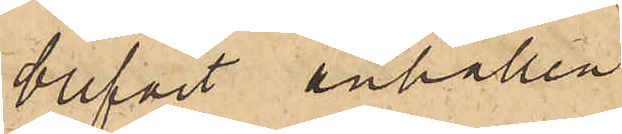blifvit anhållen.
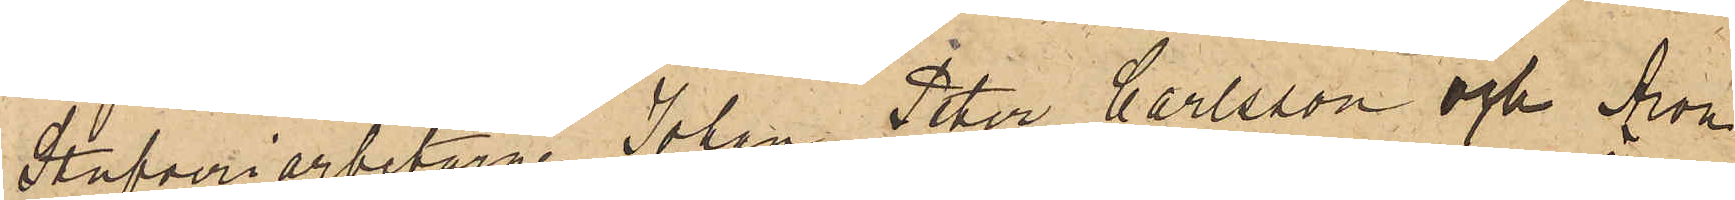Stufveriarbetarne  Johan Peter Carlsson och Aron
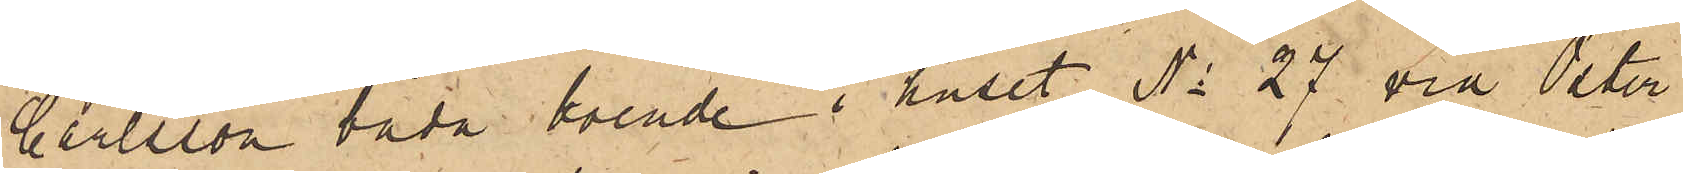Carlsson båda boende i huset No 27 vid Öster¬
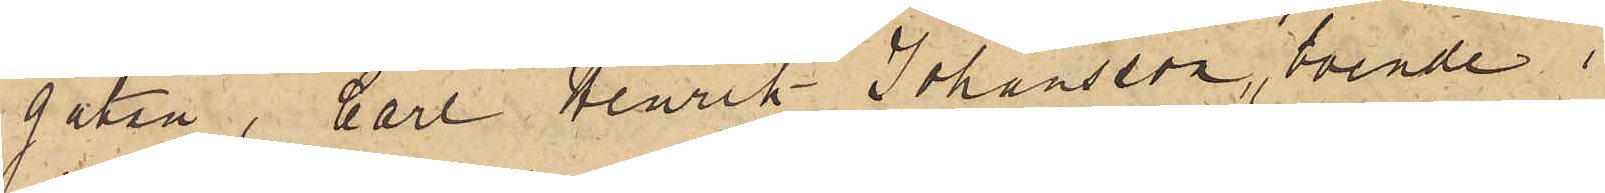gatan, Carl Henrik Johansson, boende i
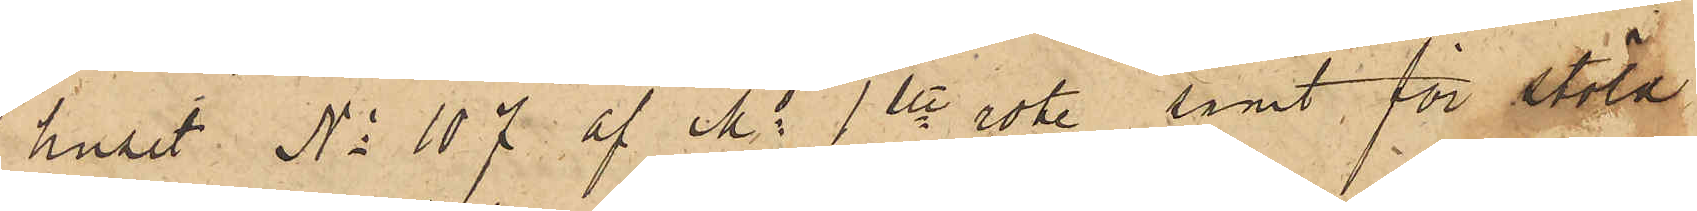huset No 107 af Ms 1ste rote, samt för stöld
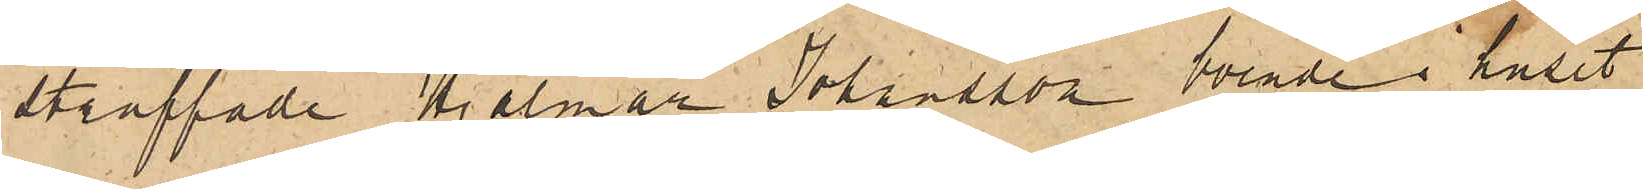straffade Hjalmar Johansson, boende i huset
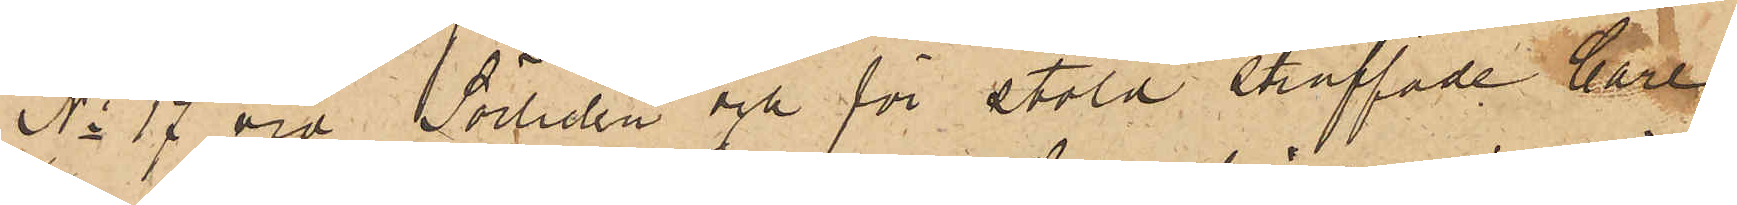No 17 vid Sörliden och för stöld straffade Carl
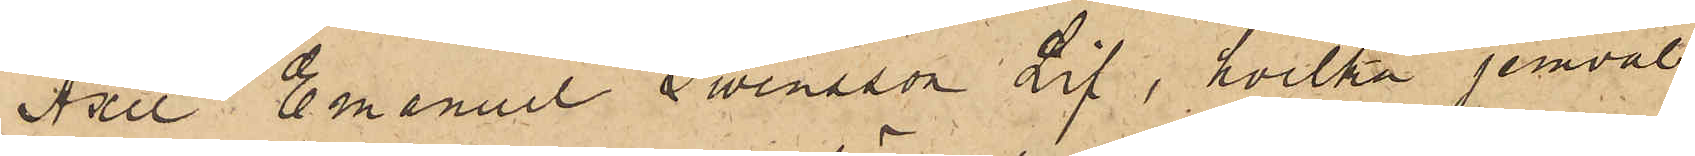Axel Emanuel Swensson Lif, hvilka jemväl
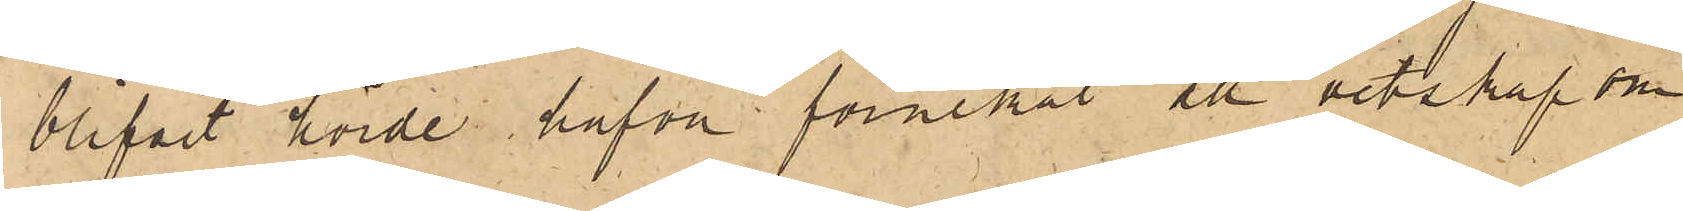blifvit hörde hafva förnekat all vetskap om
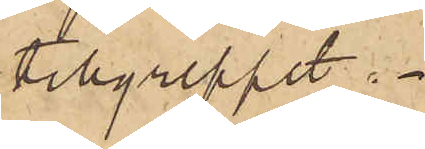tillgreppet.
